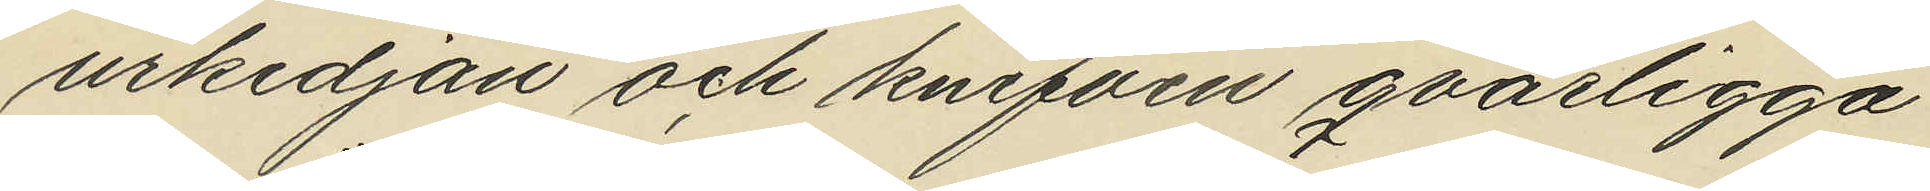urkedjan och knifven qvarligga
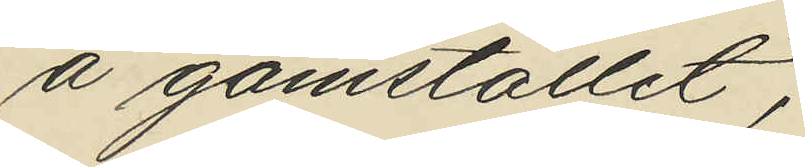å gömstället;
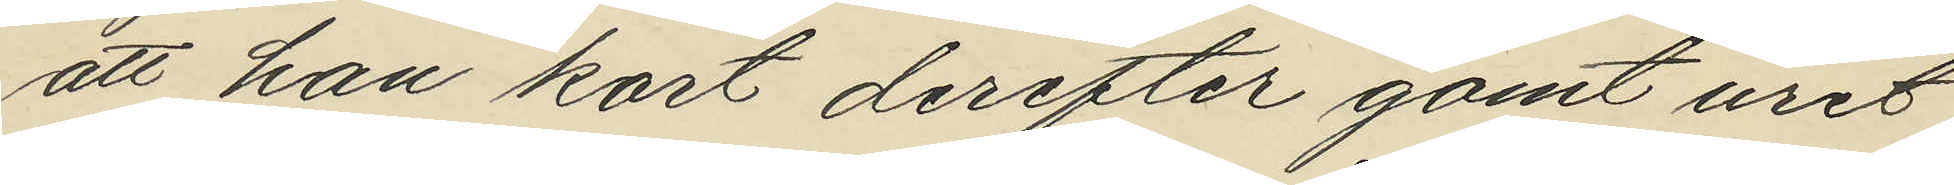att han kort derefter gömt uret
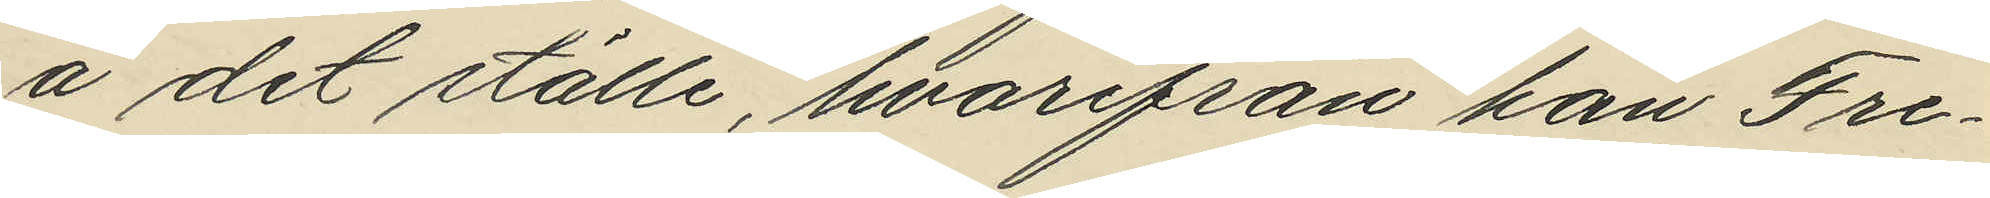å det ställe, hvarifrån han Fre¬
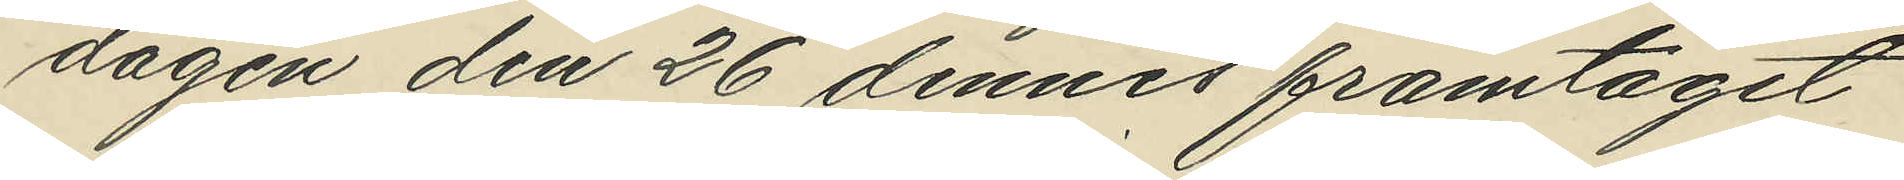dagen den 26 dennes framtagit
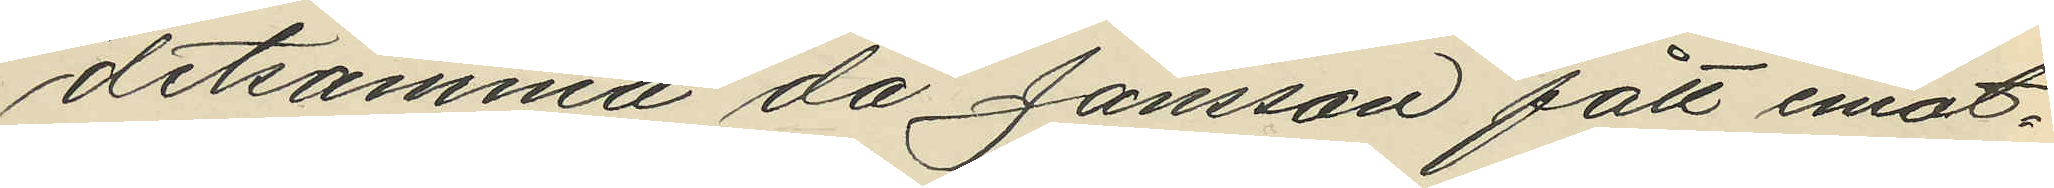detsamma då Jansson fått emot¬
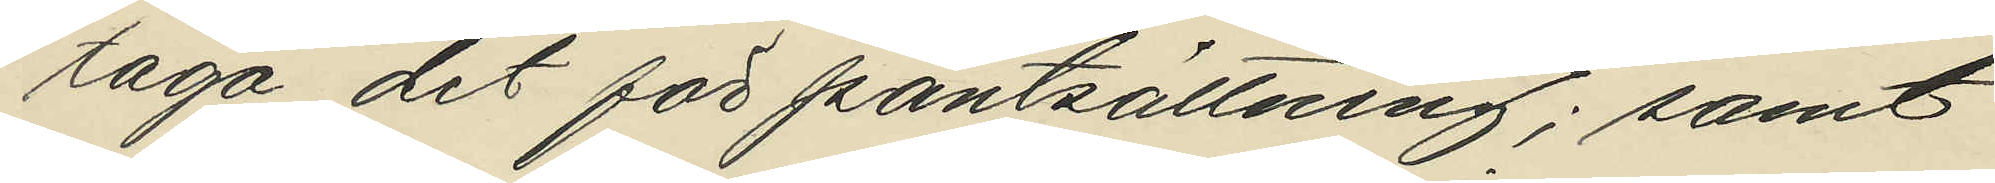taga det för pantsättning; samt
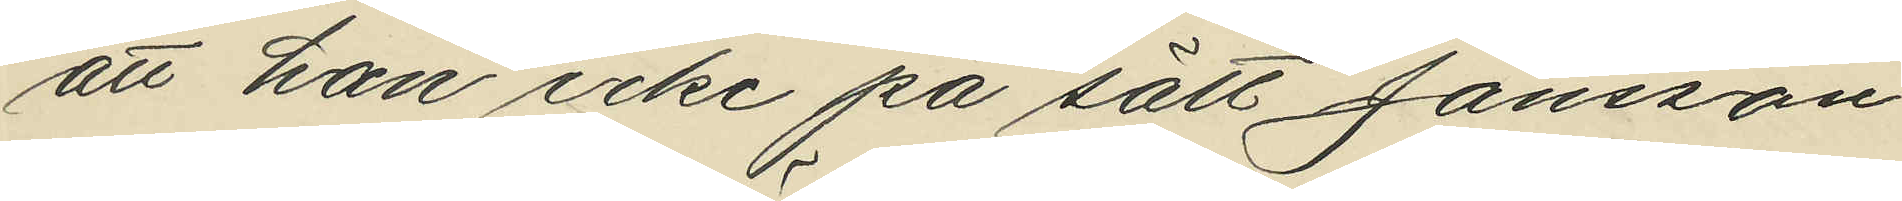att han icke på sätt Jansson
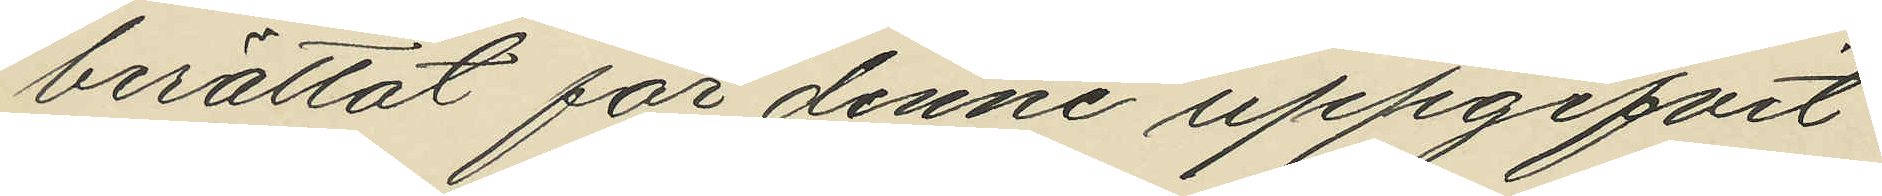berättat för denne uppgifvit
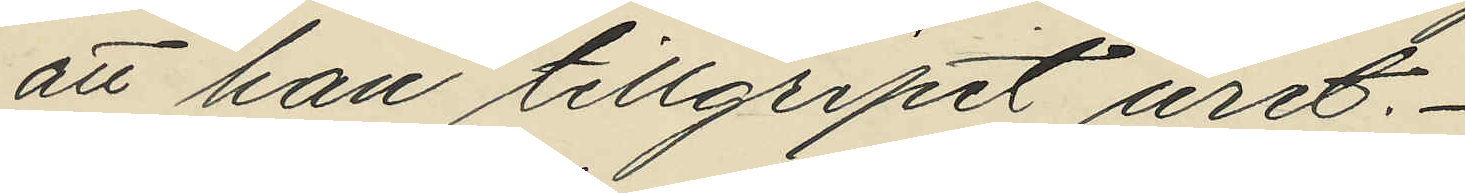att han tillgripit uret.
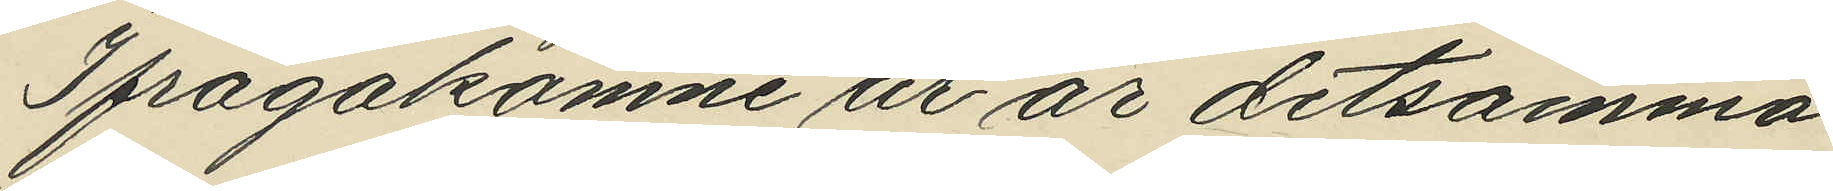Ifrågakomne ur är detsamma
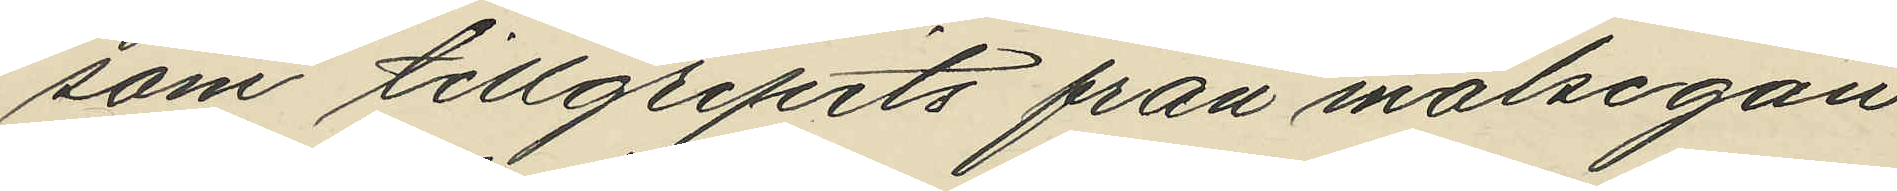som tillgripits från målsegan
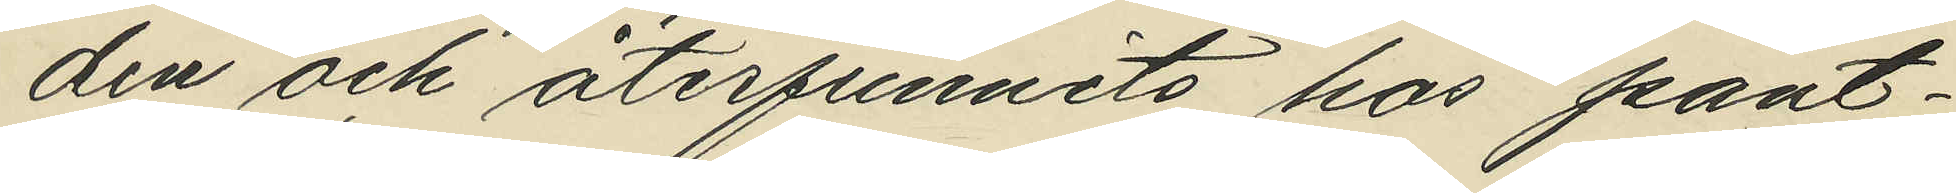den och återfunnits hos pant¬
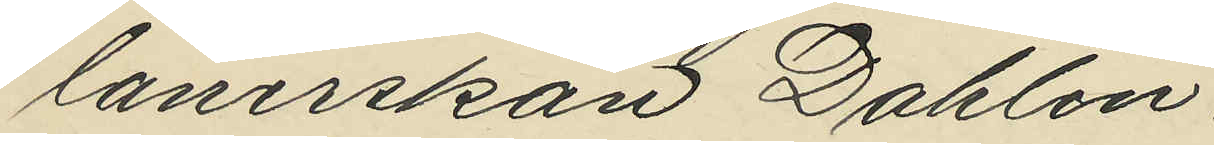lånerskan Dahlin.
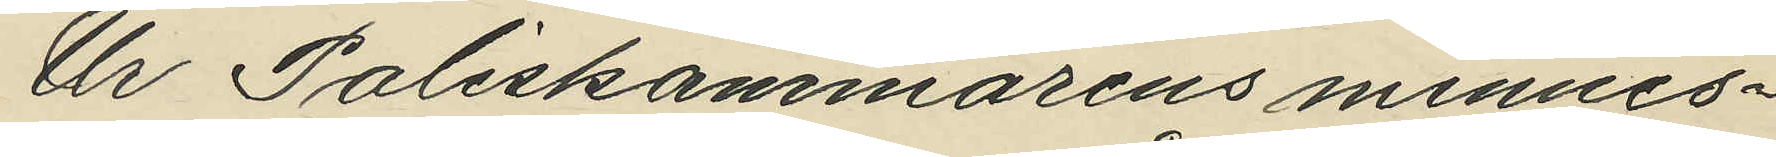Ur Poliskammarens minnes¬
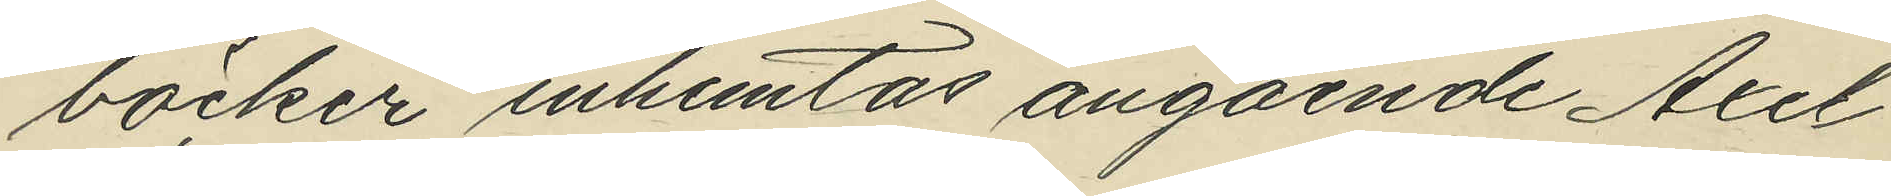böcker inhemtas angående Axel
